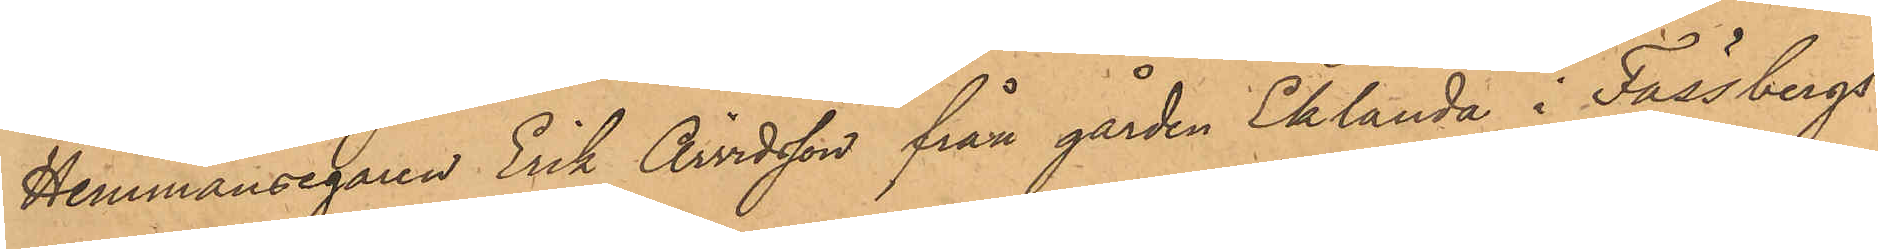Hemmansegaren Erik Arvidsson från gården Eklanda i Fässbergs
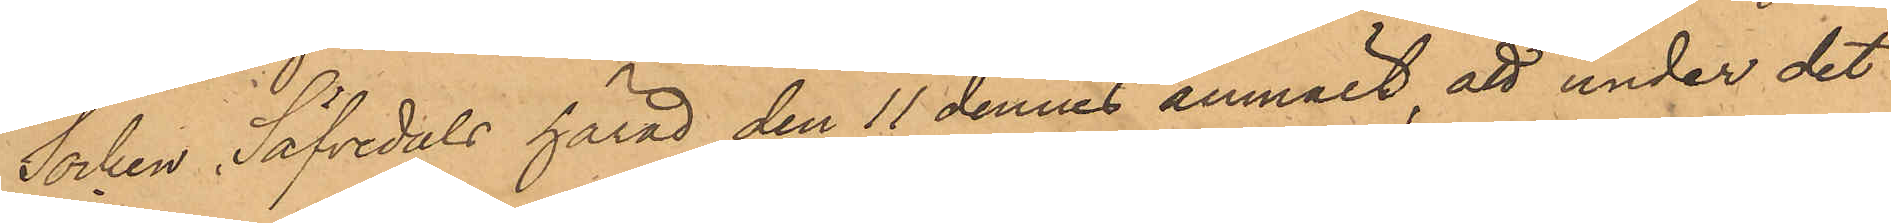Socken, Säfvedals härad den 11 dennes anmält, att under det
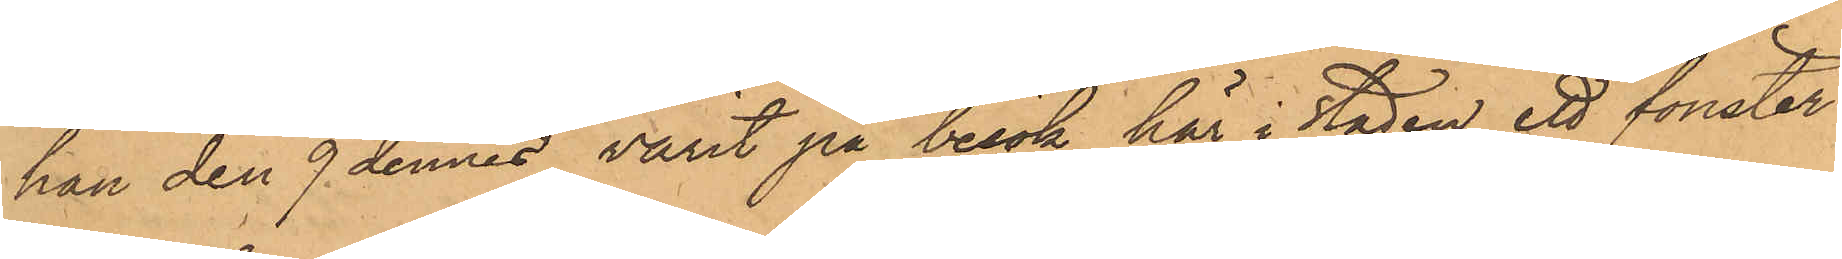han den 9 dennes varit på besök här i staden, ett fönster
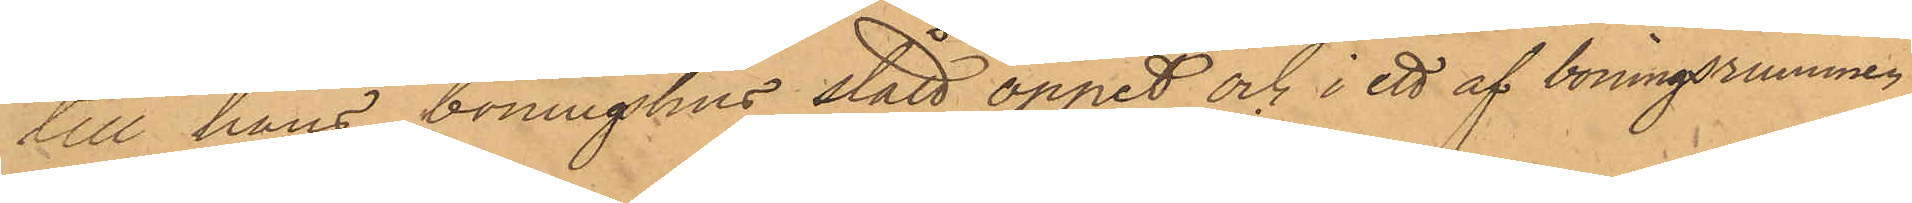till hans boningshus stått öppet och i ett af boningsrummen
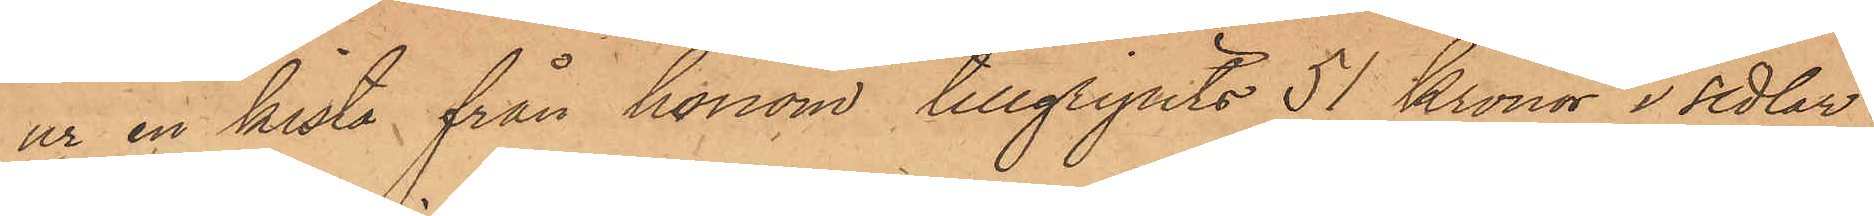ur en kista från honom tillgripits 51 Kronor i sedlar
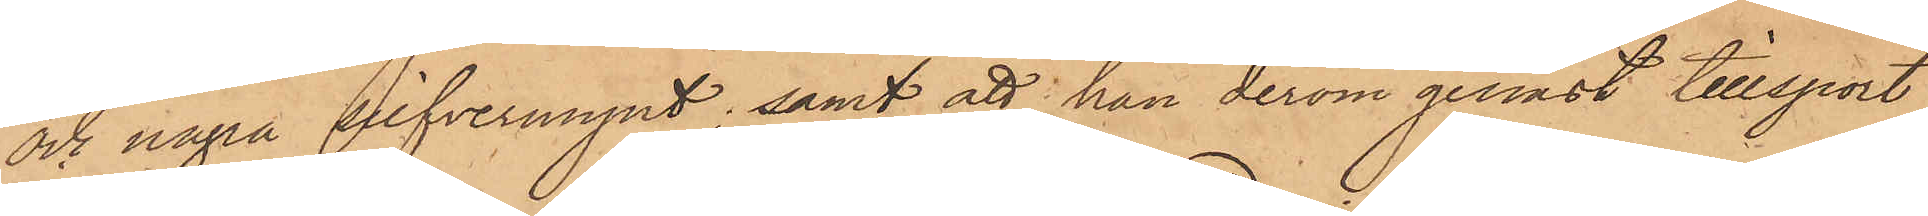och några silfvermynt; samt att han derom genast tillsport
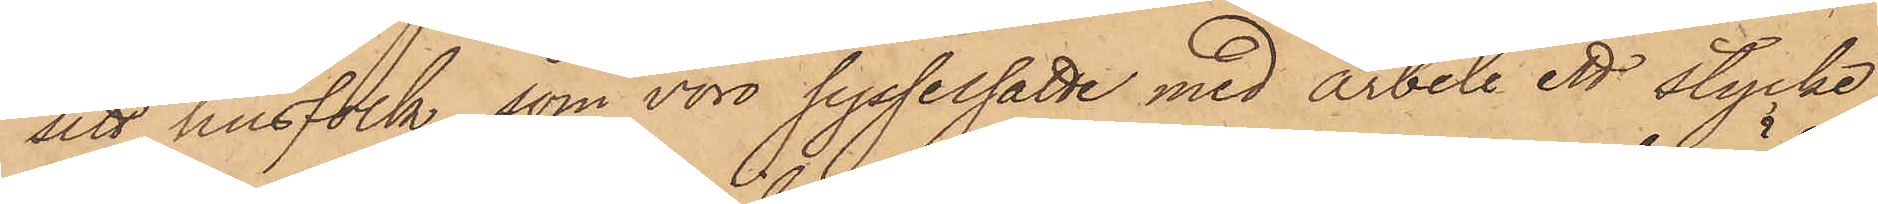sitt husfolk, som voro sysselsatte med arbete ett stycke
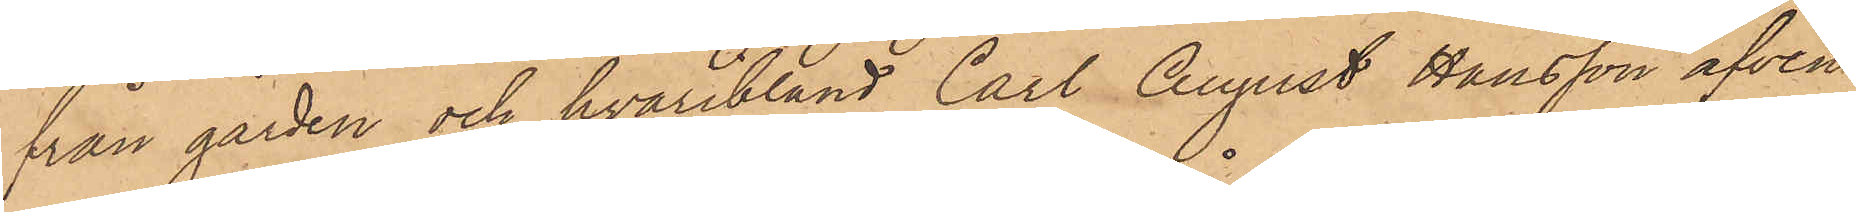från gården och hvaribland Carl August Hansson äfven
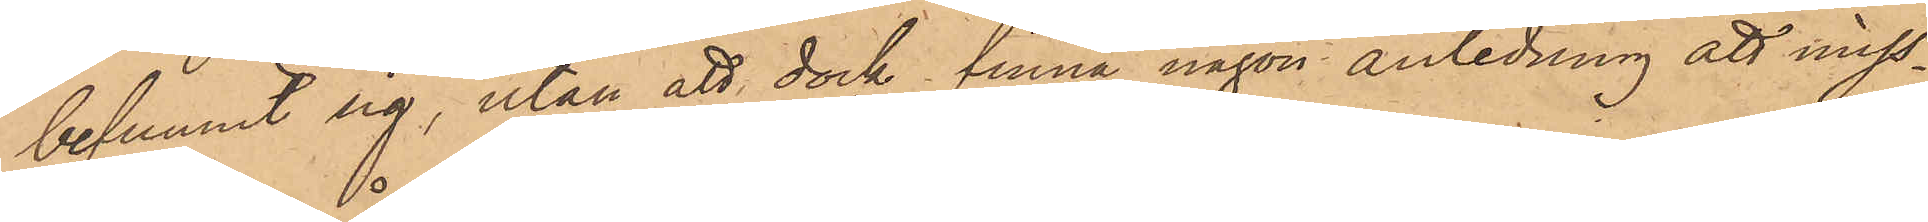befunnit sig, utan att dock finna någon anledning att miss¬
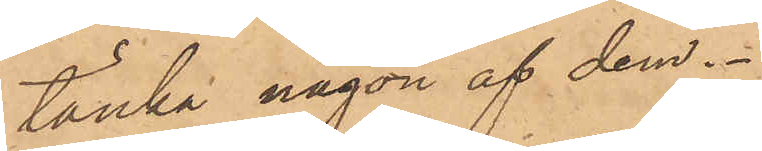tänka någon af dem.
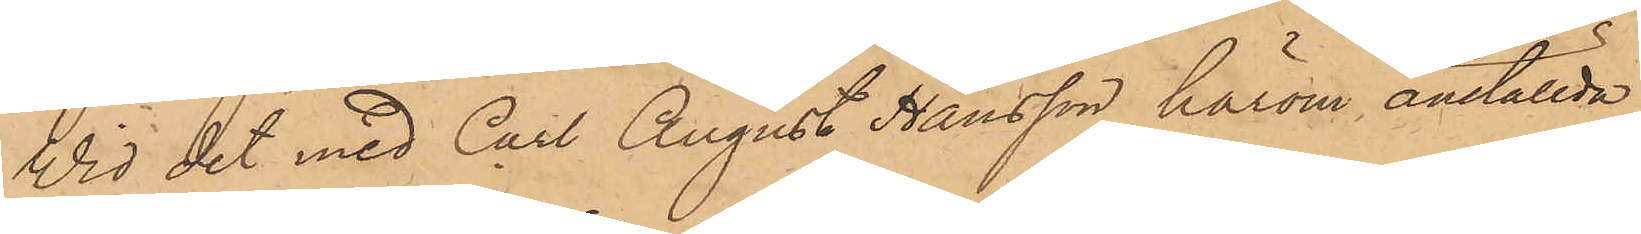Vid det med Carl August Hansson härom anställda
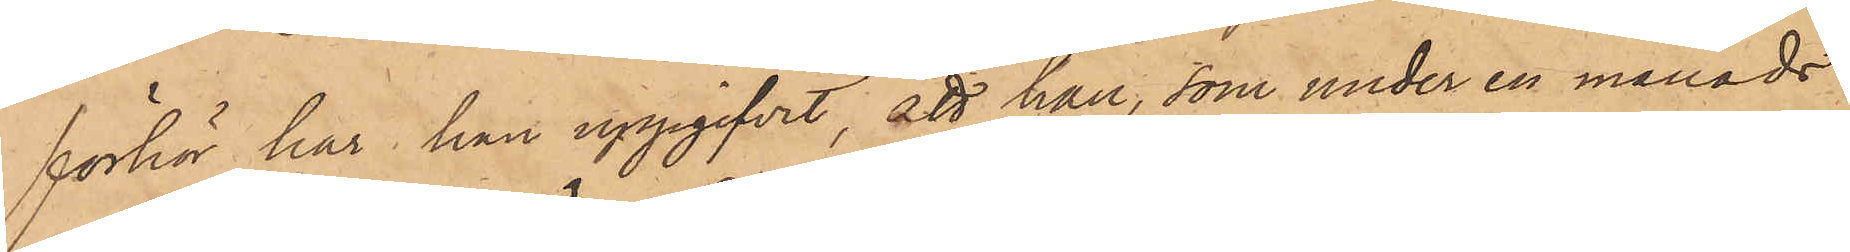förhör har han uppgifvit, att han, som under en månads
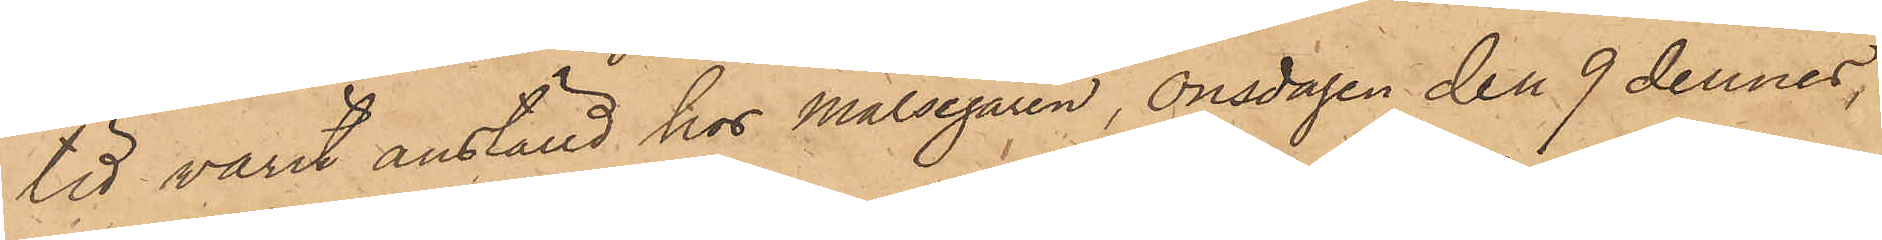tid varit anställd hos Målsegaren, Onsdagen den 9 dennes,
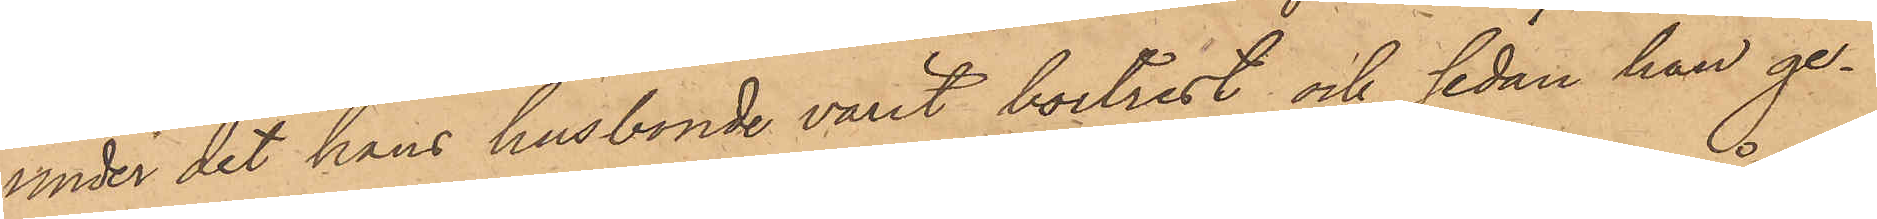under det hans husbonde varit bortrest och sedan han ge¬
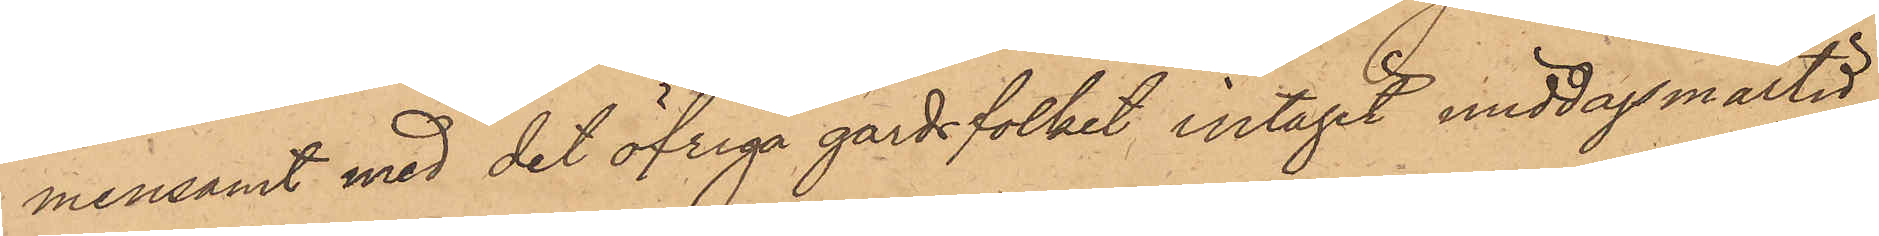mensamt med det öfriga gårdsfolket intagit middagsmåltid,
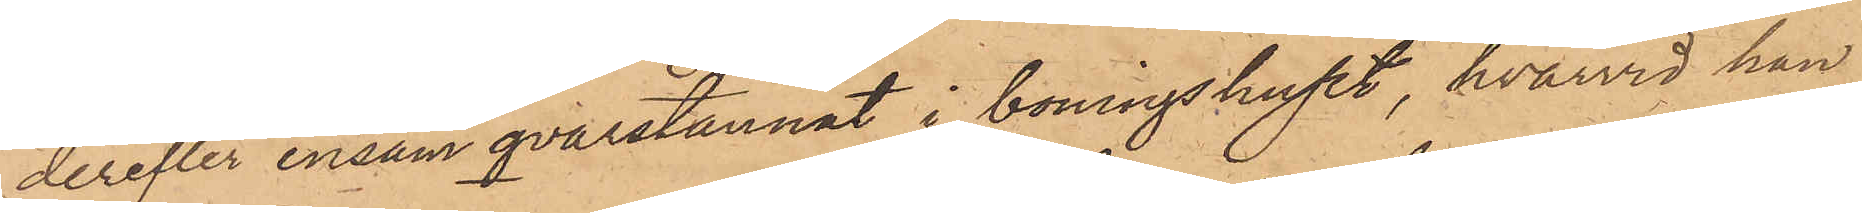derefter ensam qvarstannat i boningshuset, hvarvid han
